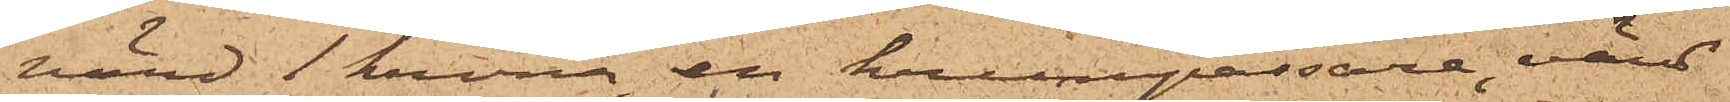värd 1 krona, en krumpassare, värd
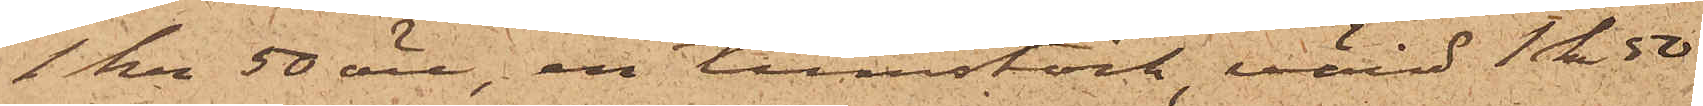1 kr 50 öre, en tumstock, värd 1 kr 50
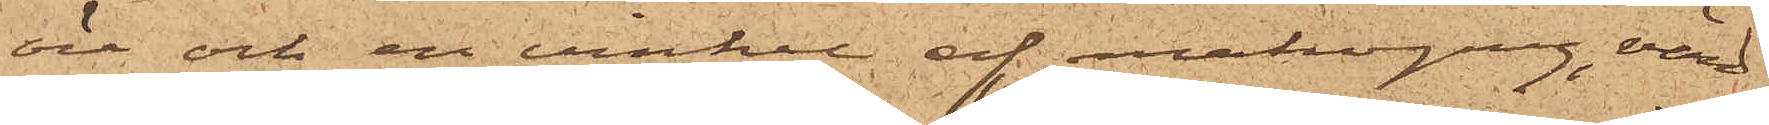öre och en vinkel af mahogny, värd
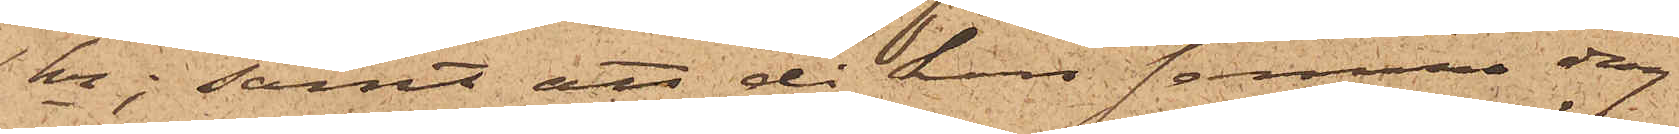1 kr; samt att då han samma dag
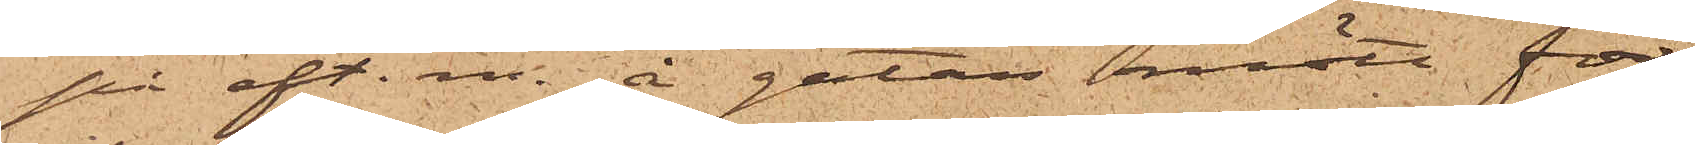på eft. m. å gatan mött för
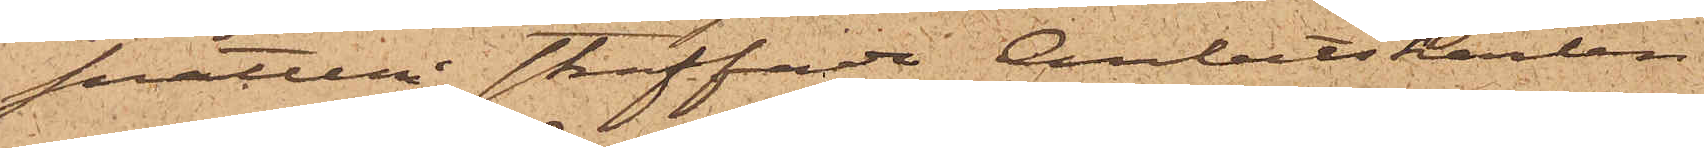snatteri straffade Arbetskarlen
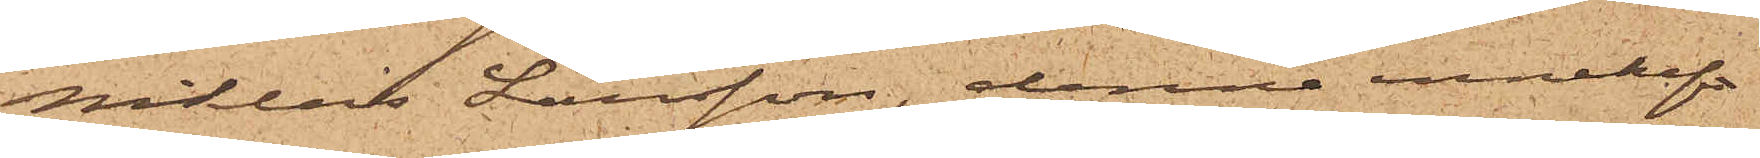Niklas Larsson, denne innehaft
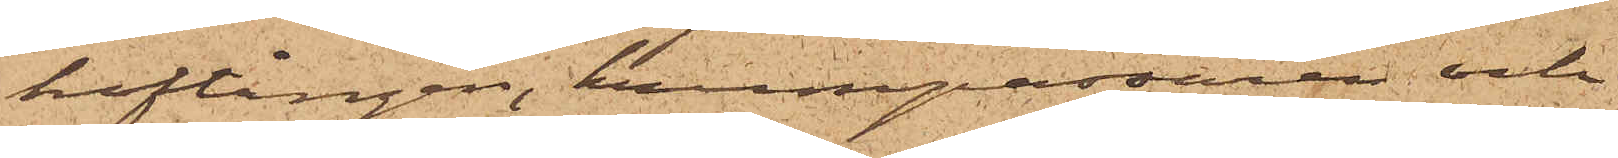hoftången, krumpassaren och
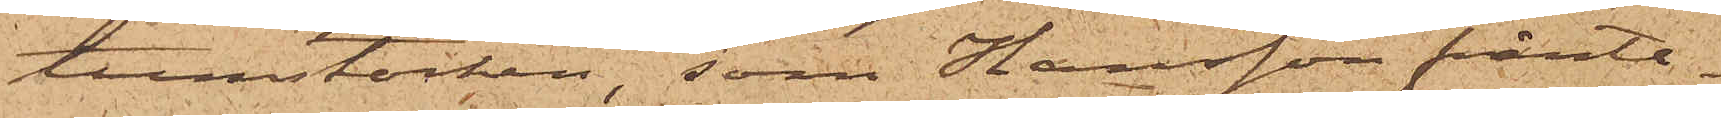tumstocken, som Hansson frånta¬
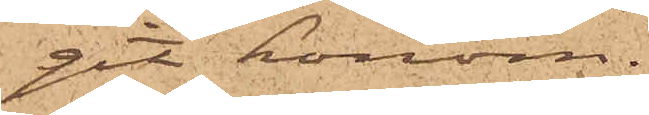git honom.
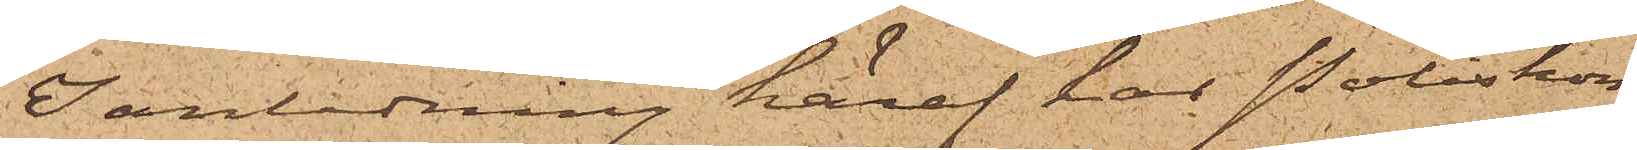I anledning häraf har Poliskon¬
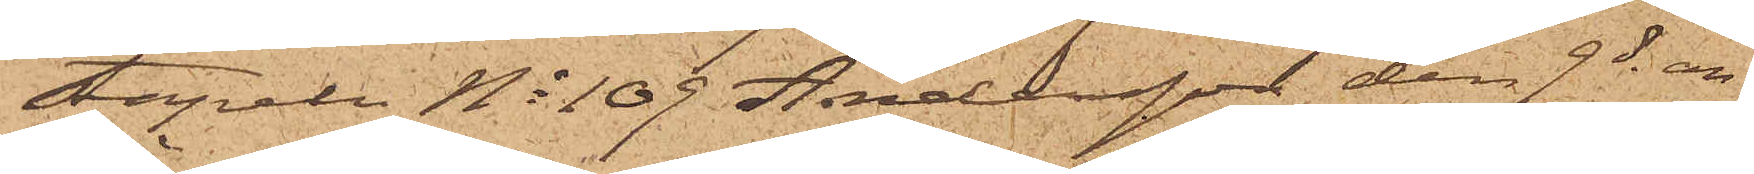stapeln No 109 Andersson den 9 ds an¬
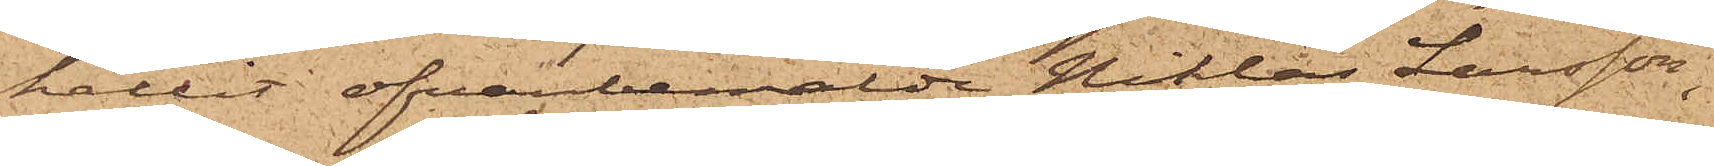hållit ofvanbemälde Niklas Larsson,
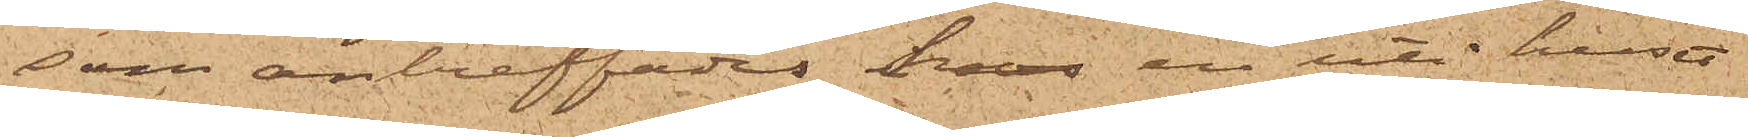som anträffades hos en uti huset
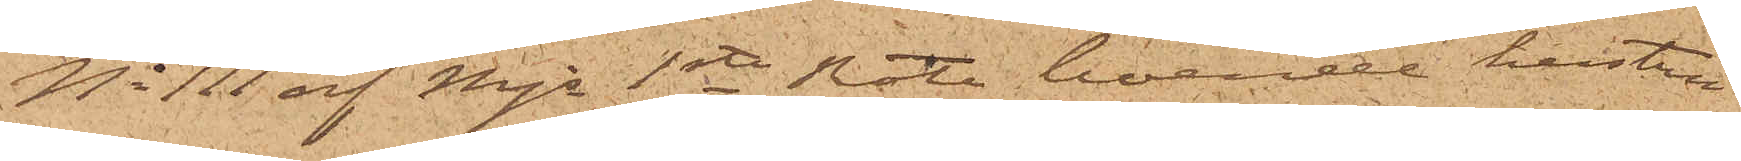No 111 af Mjs 1sta Rote boende hustru
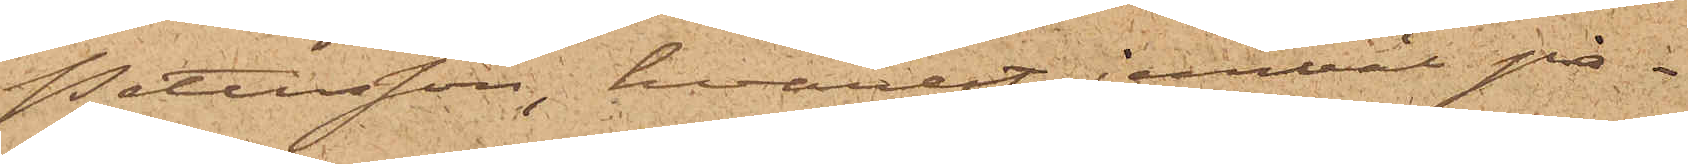Pettersson, hvarest jemväl på¬
